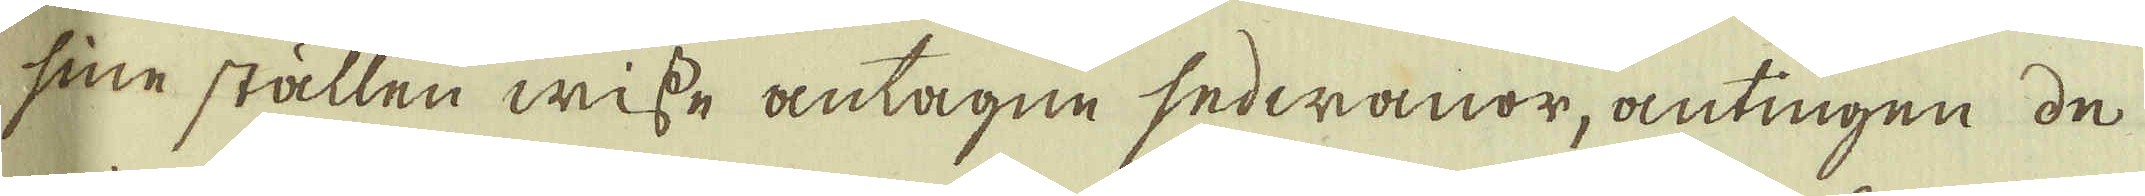sine ställen wisse antagne sedwanor, antingen de
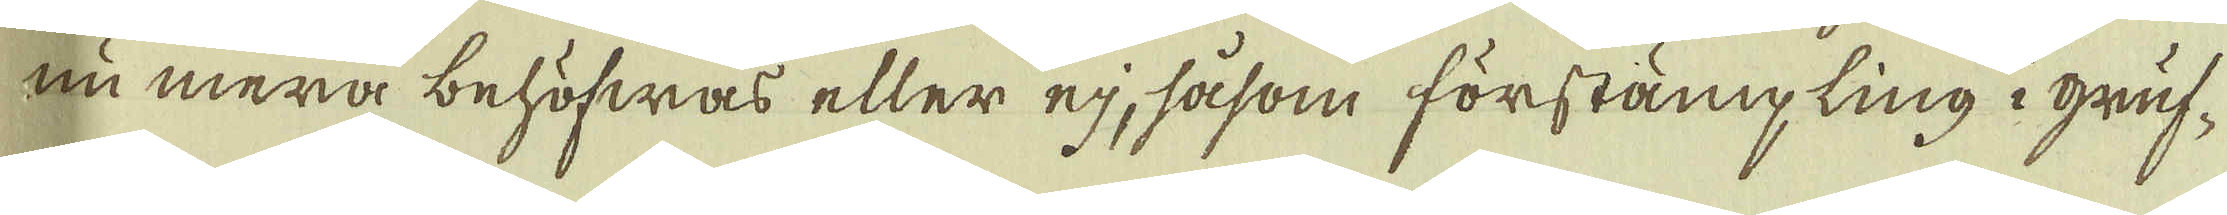nu mera behöfwas eller ej, såsom förstämpling i gruf-
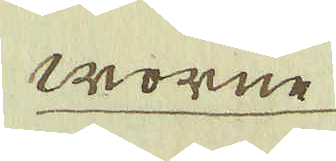worne
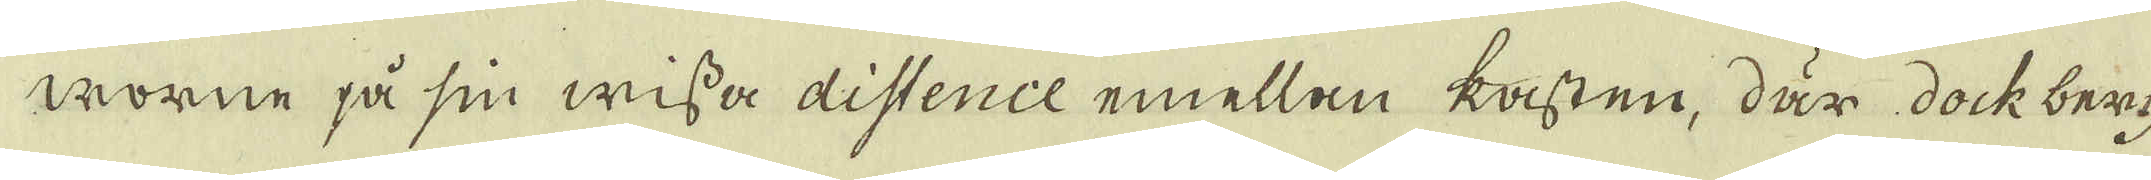worne på sin wissa distence emellan kasten, där dock berg-
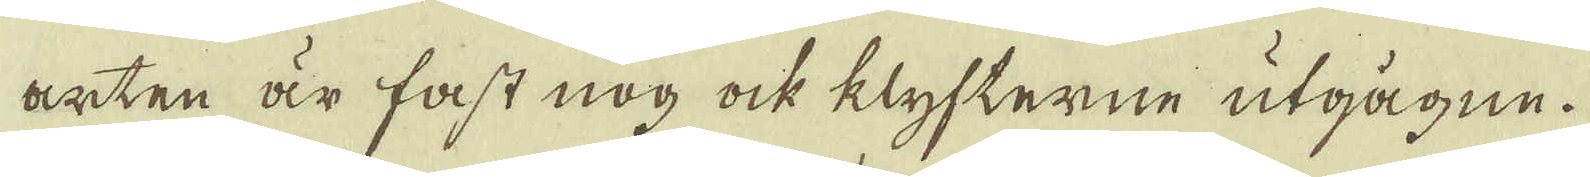arten är fast nog ock klyfterne utgågne.
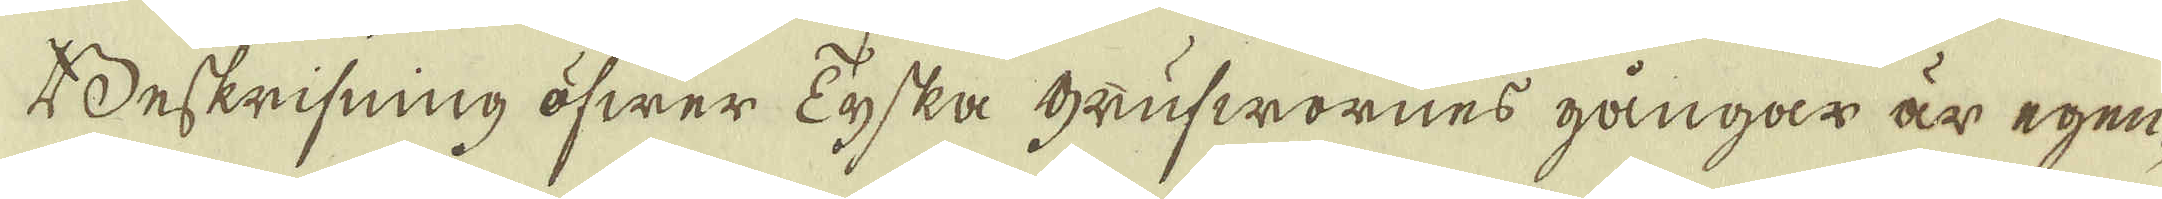Beskrifning öfwer Tyska grufwornes gångar är egen-
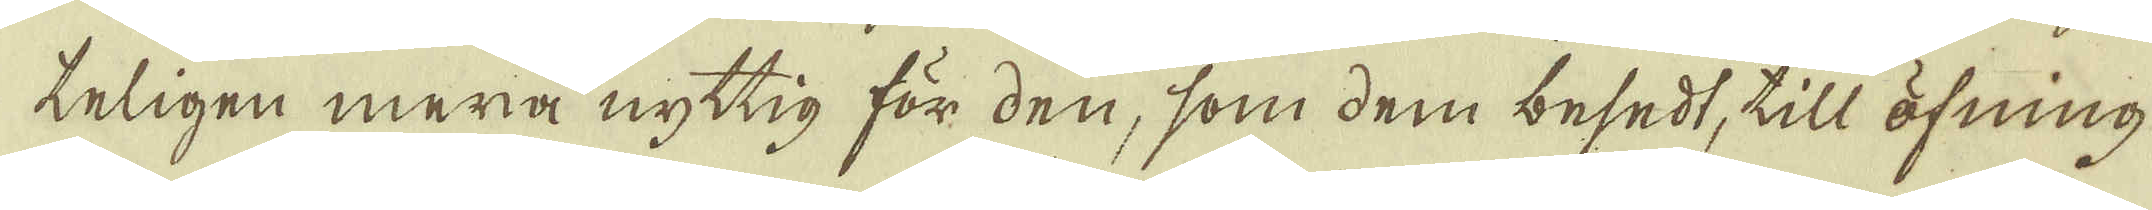teligen mera nyttig för den, som dem besedt, till öfning
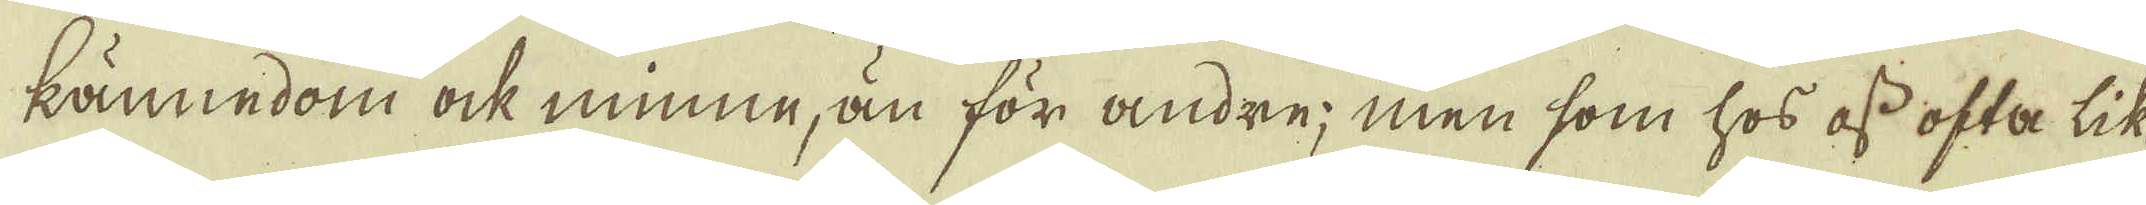kännedom ock minne, än för andre; men som hos oss ofta lik-
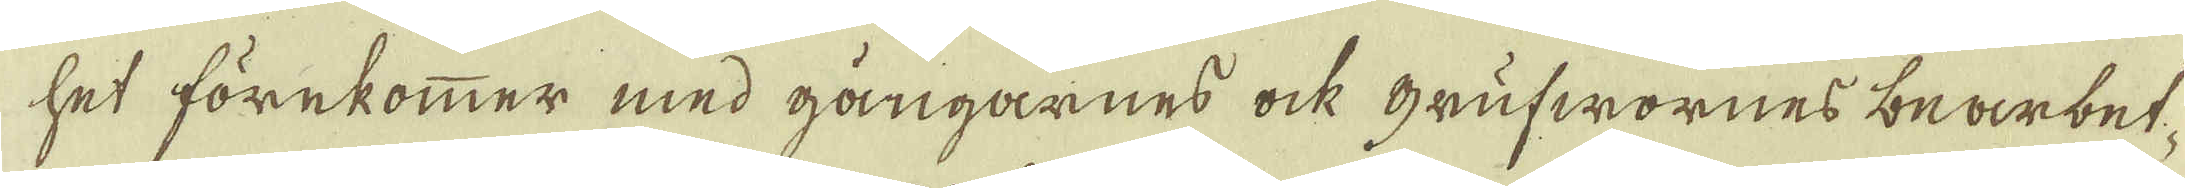het förekommer med gångarnes ock grufwornes bearbet-
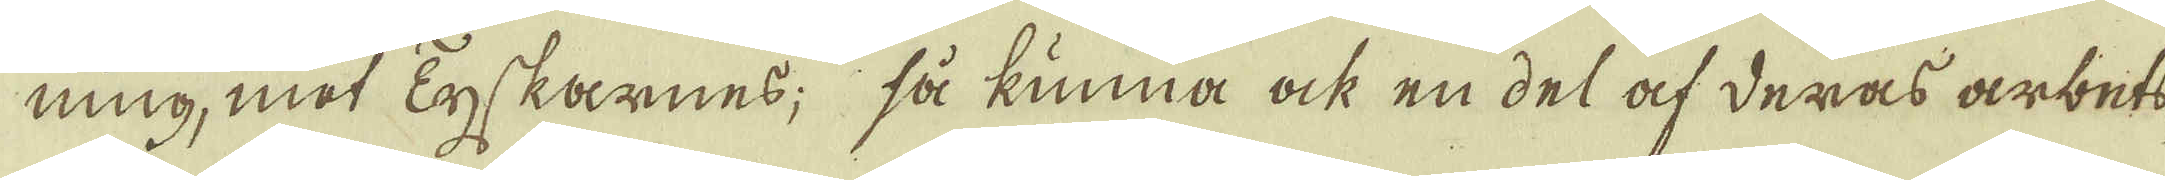ning, med Tyskarnes; så kunna ock en del af deras arbets-
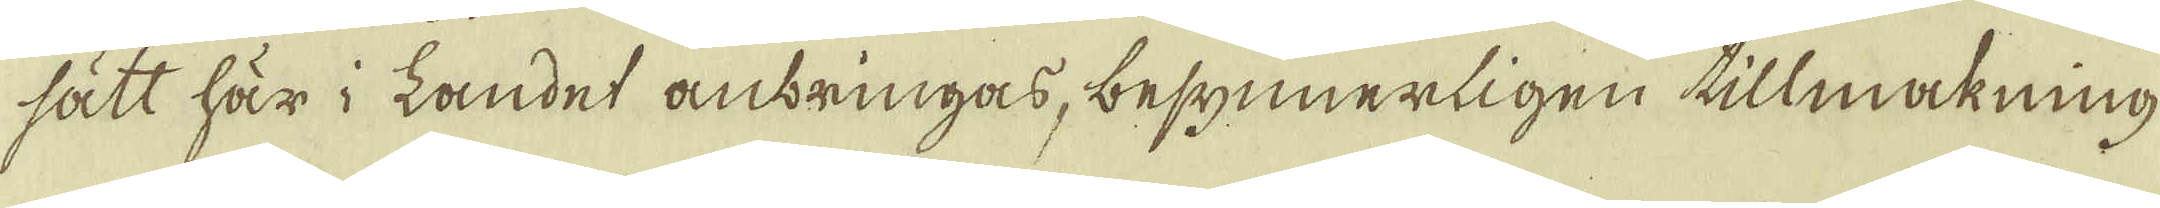sätt här i Landet anbringas, besynnerligen tillmakning
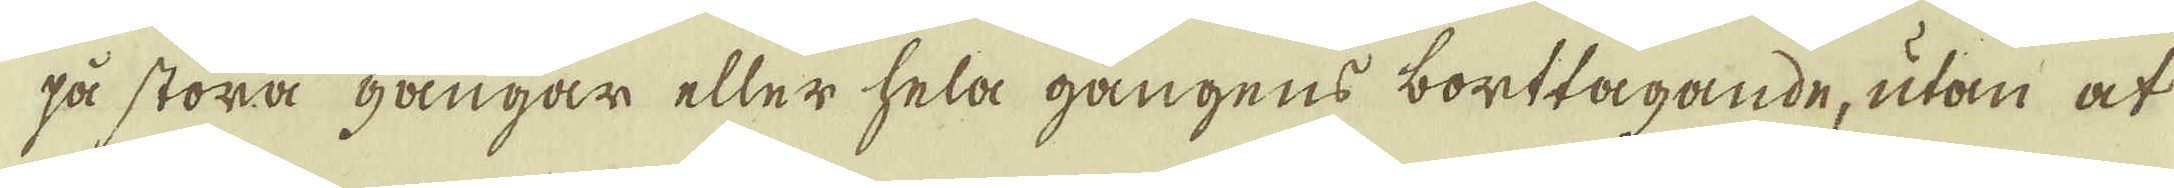på stora gångar eller hela gångens borttagande, utan at
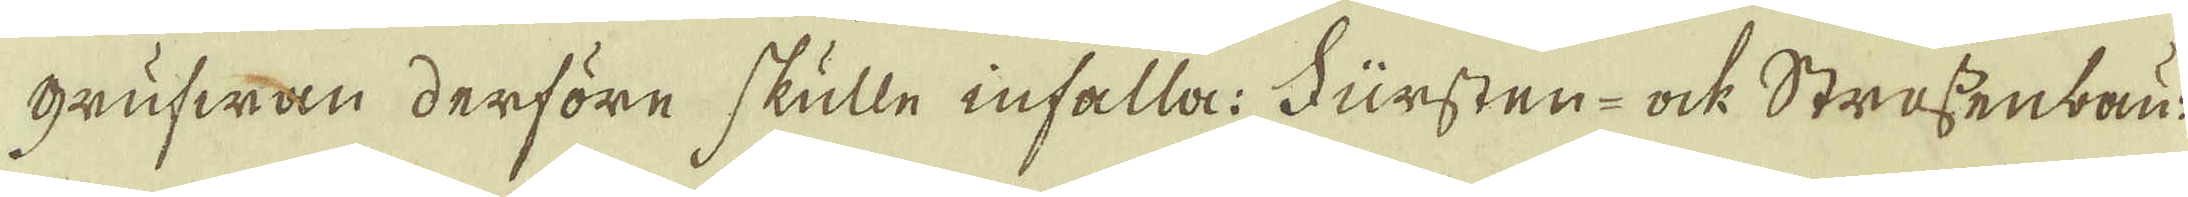grufwan derföre skulle infalla: Fursten- ock Strassenbau-
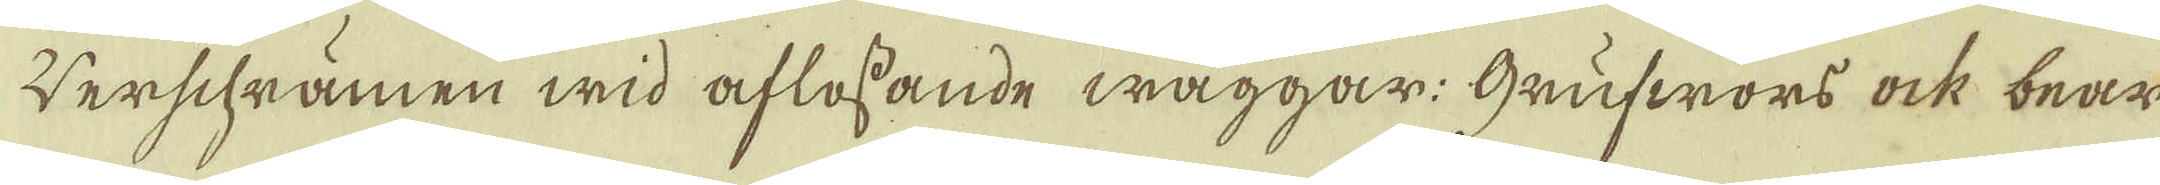verschrämen wid aflösande wäggar: Grufwors ock bear-
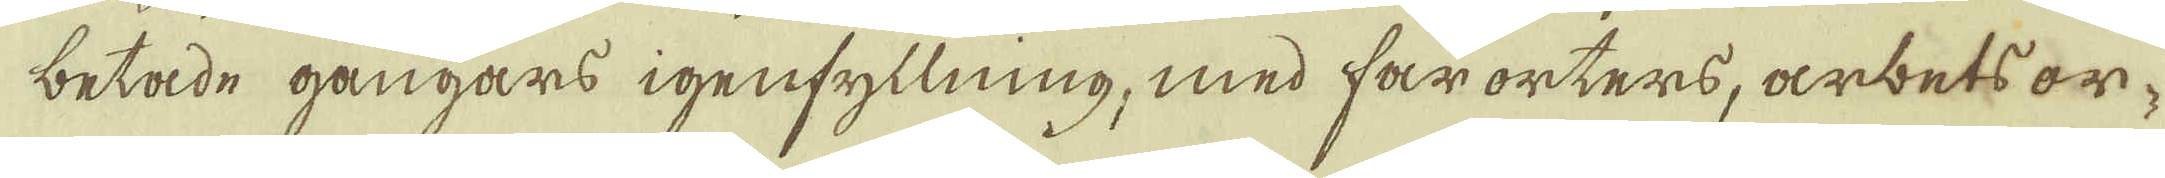betade gångars igenfyllning, med farorters, arbets or-
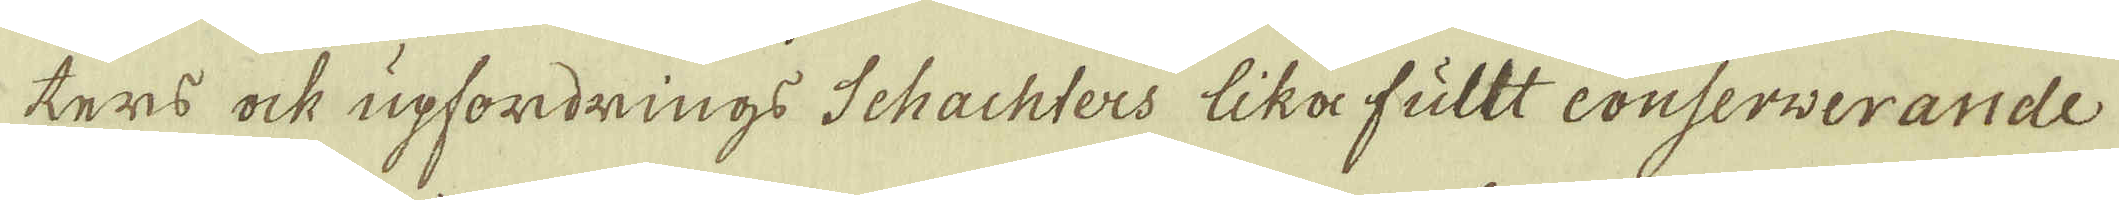tens ock upfordrings Schachters lika fullt conserverande
